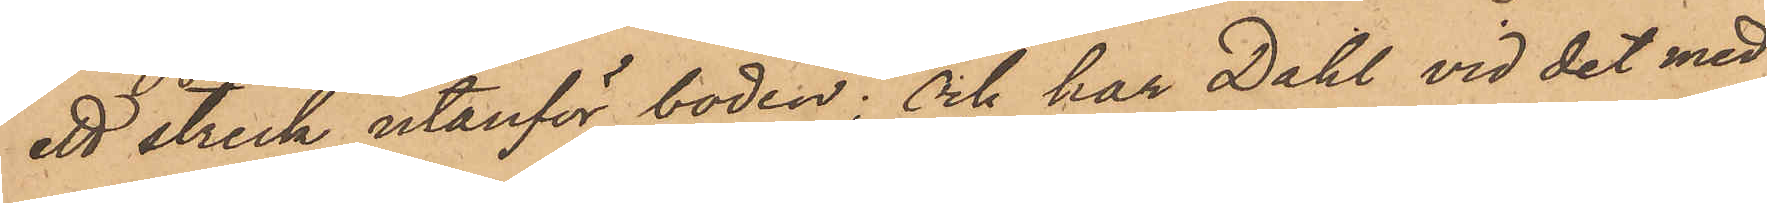ett streck utanför boden; Och har Dahl vid det med
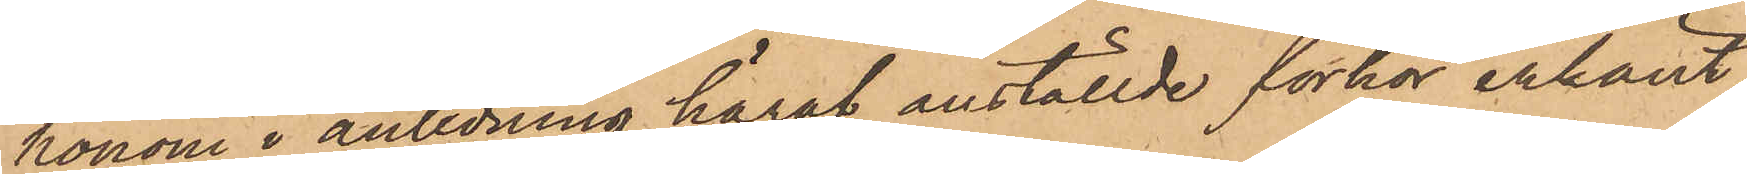honom i anledning häraf anställde förhör erkänt
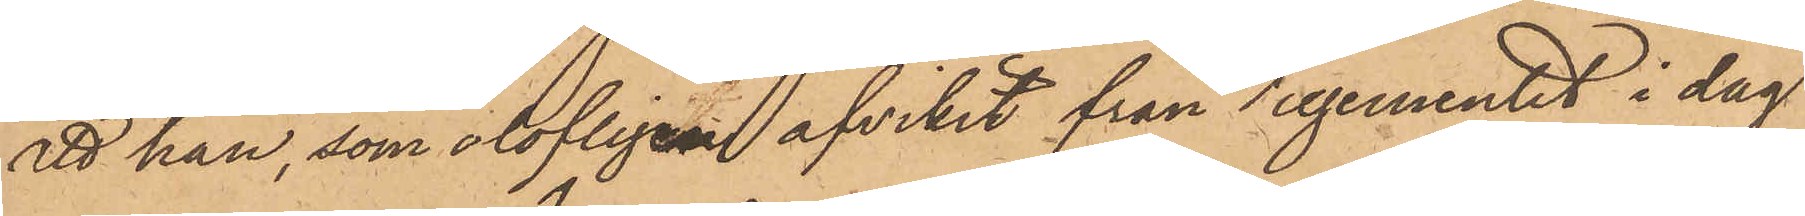att han, som olofligen afvikit från regementet i dag
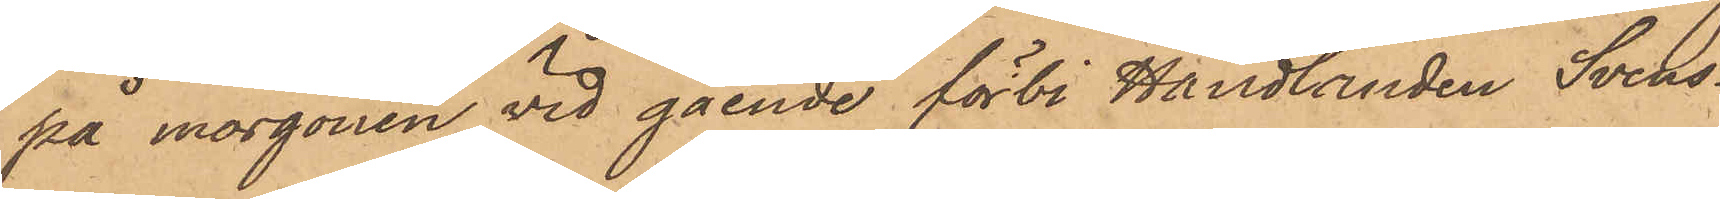på morgonen vid gående förbi Handlanden Svens¬
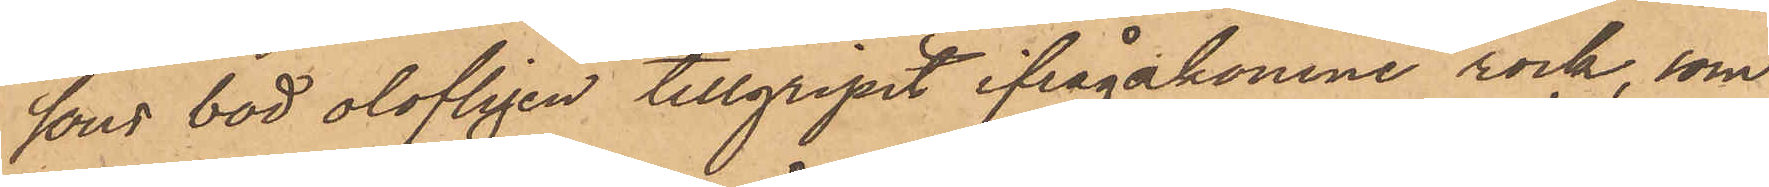sons bod olofligen tillgripit ifrågakomne rock, som
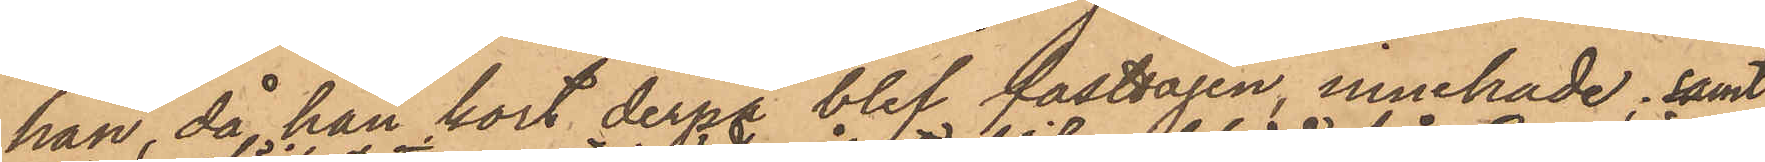han, då han kort derpå blef fasttagen innehade; samt
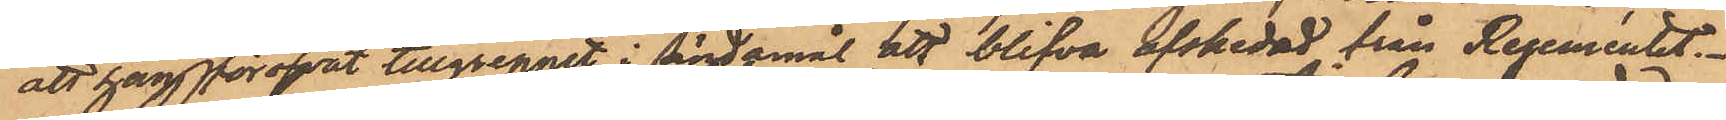att han föröfvat tillgreppet i ändamål att blifva afskedad från Regementet.
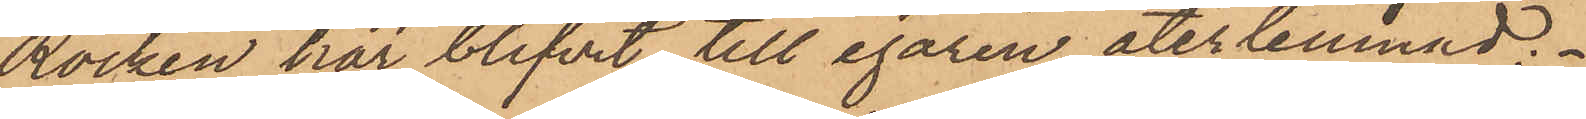Rocken har blifvit till egaren återlemnad.
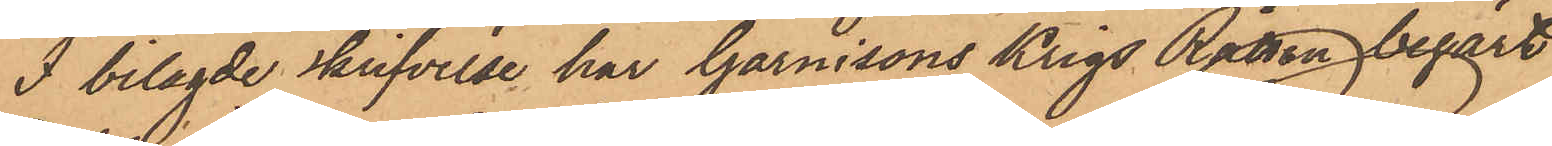I bilagde skrifvelse har Garnisons Krigs Rätten begärt
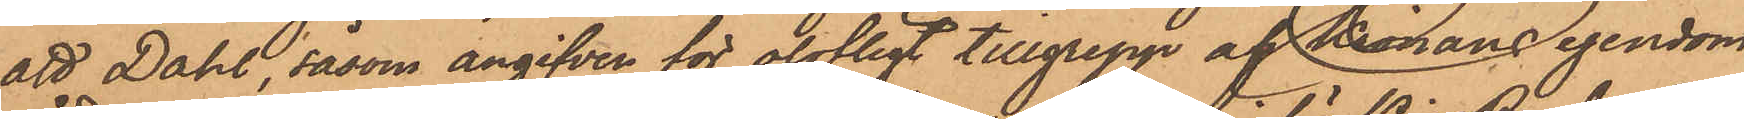att Dahl, såsom angifven för olofligt tillgrepp af Kronans egendom,
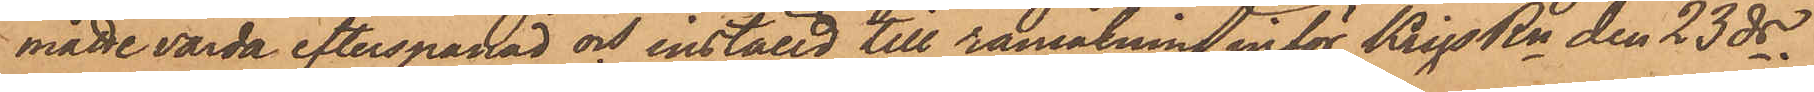måtte varda efterspanad och inställd till ransakning inför KrigsRn den 23 ds.
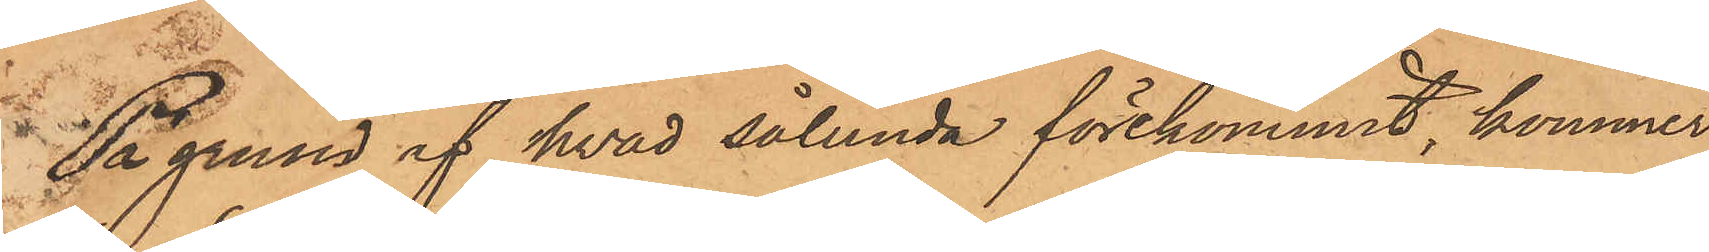På grund af hvad sålunda förekommit, kommer
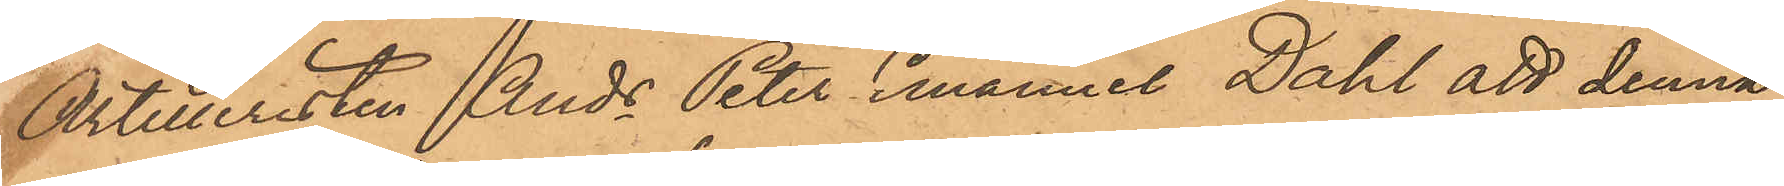Artilleristen Ands Peter Emanuel Dahl att denna
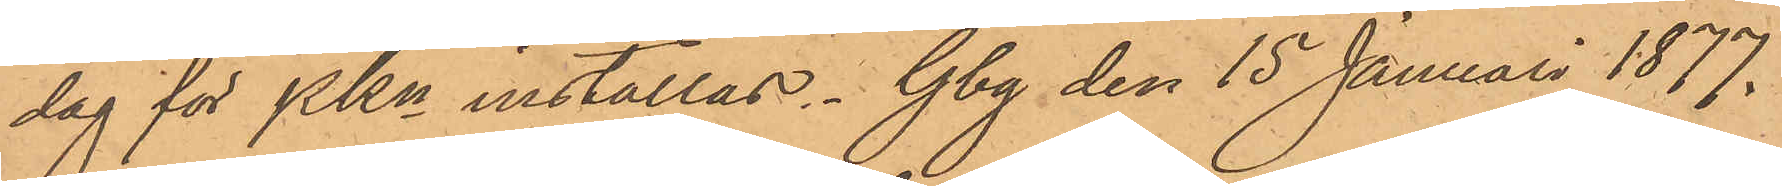dag för PKn inställas. Gbg den 15 Januari 1877.
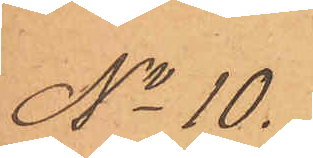No 10.
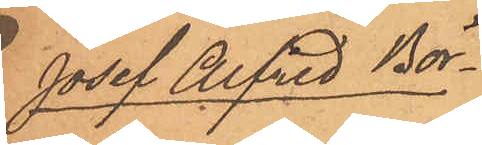Josef Alfred Bör¬
